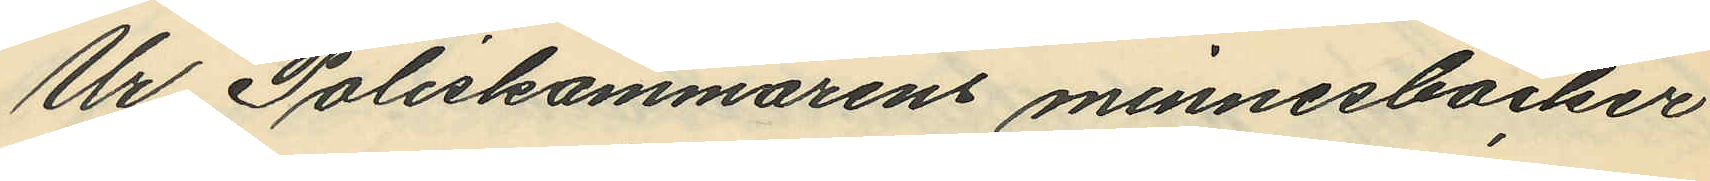Ur Poliskammarens minnesböcker
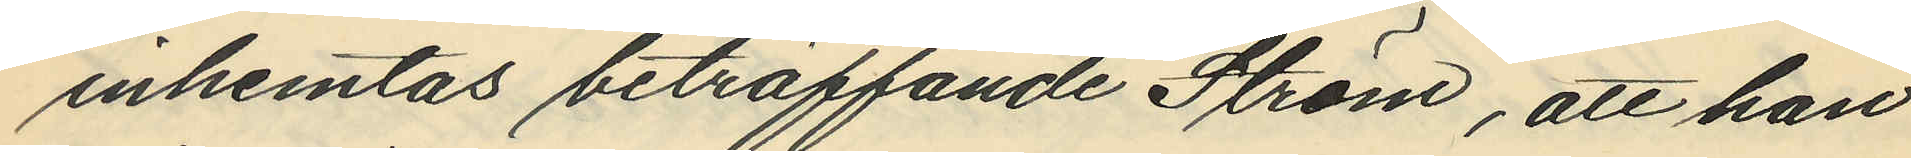inhemtas beträffande Ström, att han
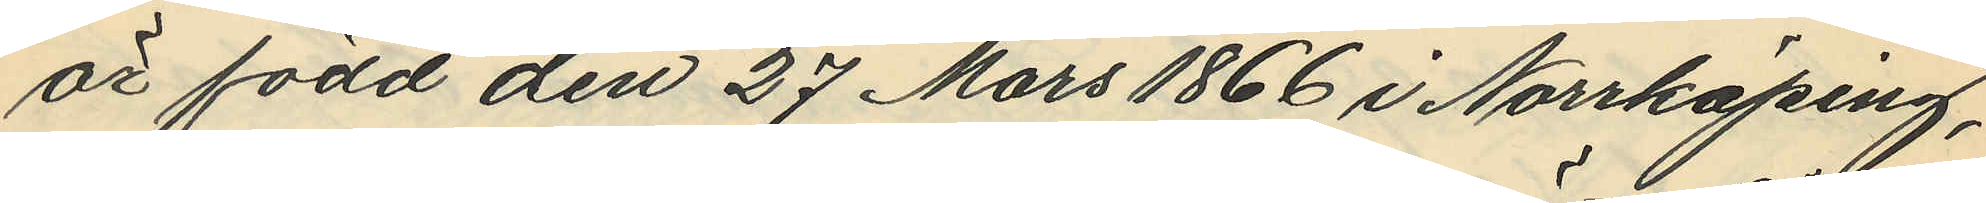är född den 27 Mars 1866 i Norrköping,
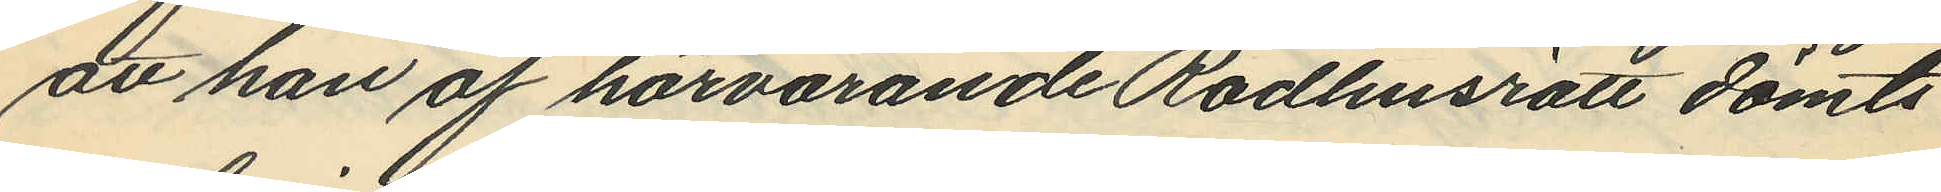att han af härvarande Rådhusrätt dömts
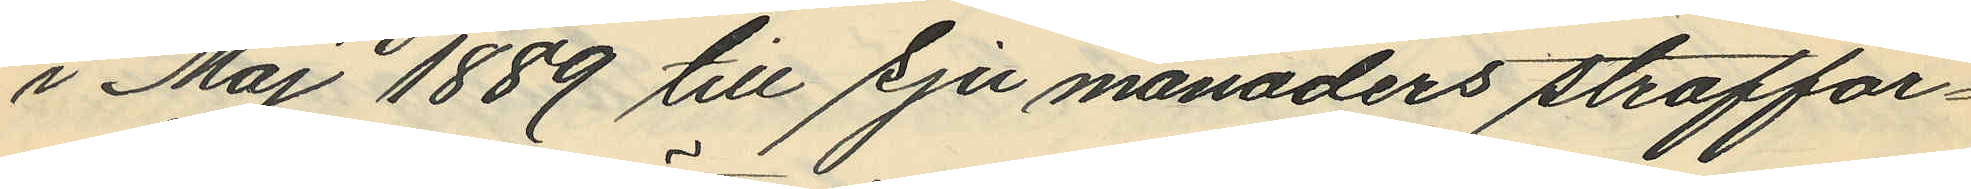i Maj 1889 till sju månaders straffar¬
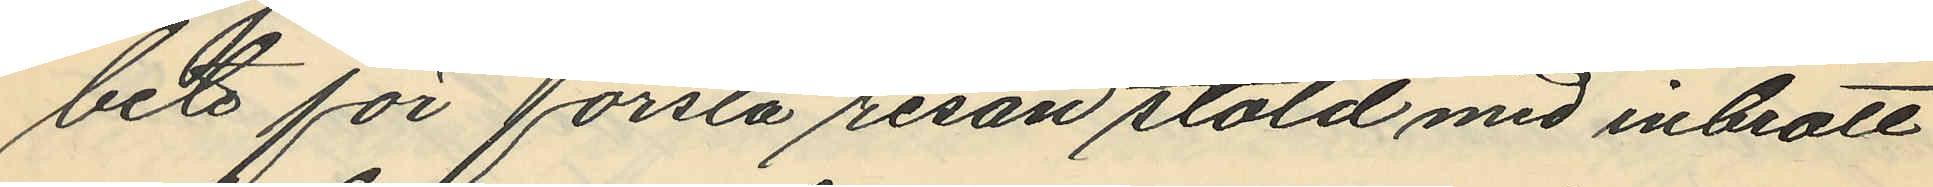bete för första resan stöld med inbrott
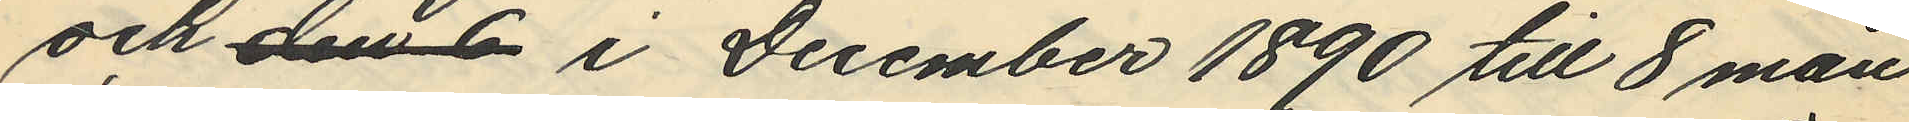och den 6 i December 1890 till 8 mån
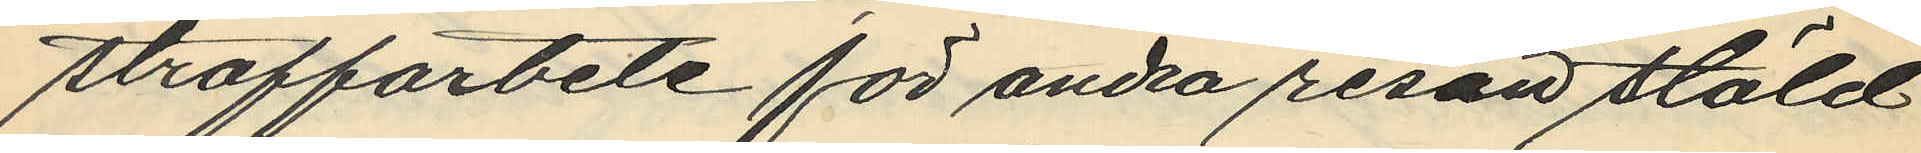straffarbete för andra resan stöld
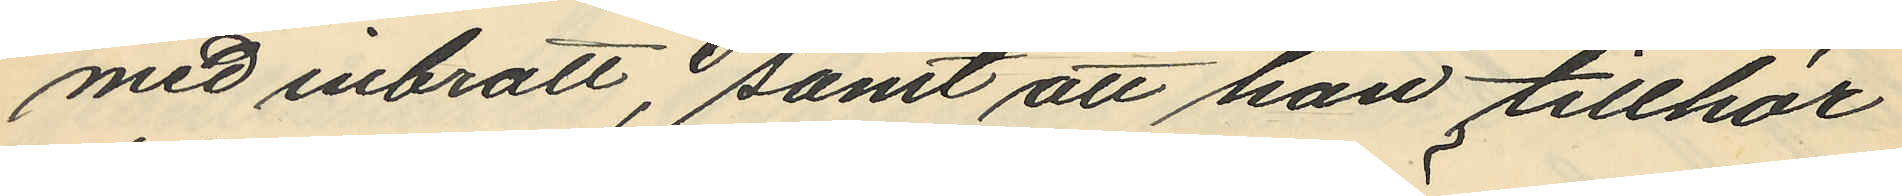med inbrott, samt att han tillhör
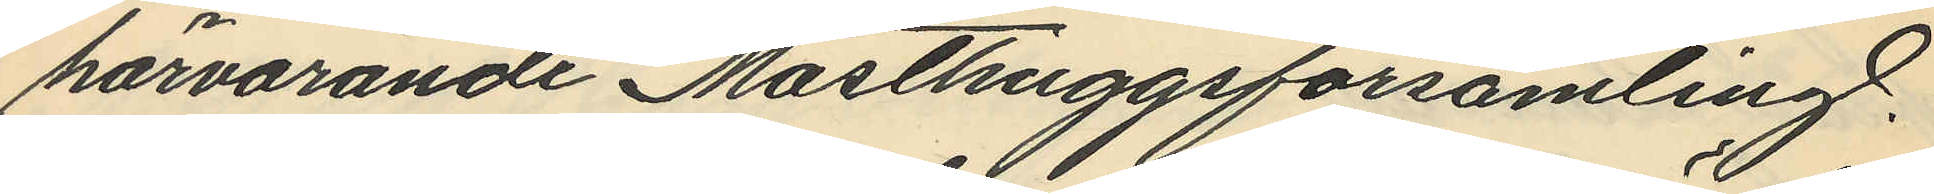härvarande Masthuggsförsamling.
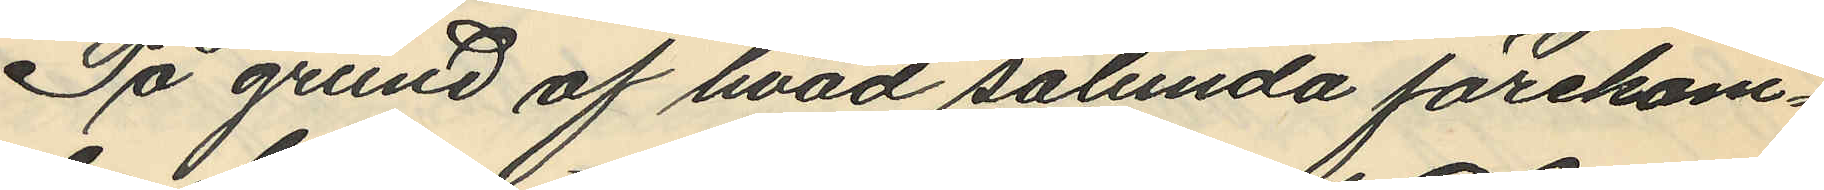På grund af hvad sålunda förekom¬
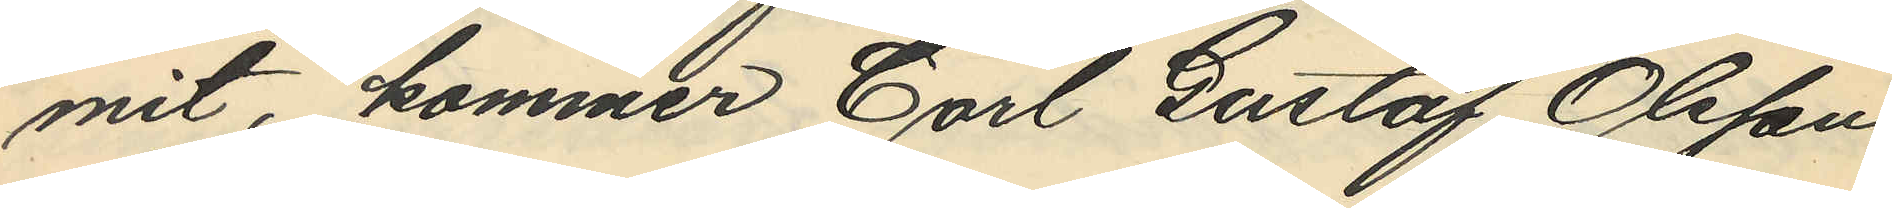mit, kommer Carl Gustaf Olsson
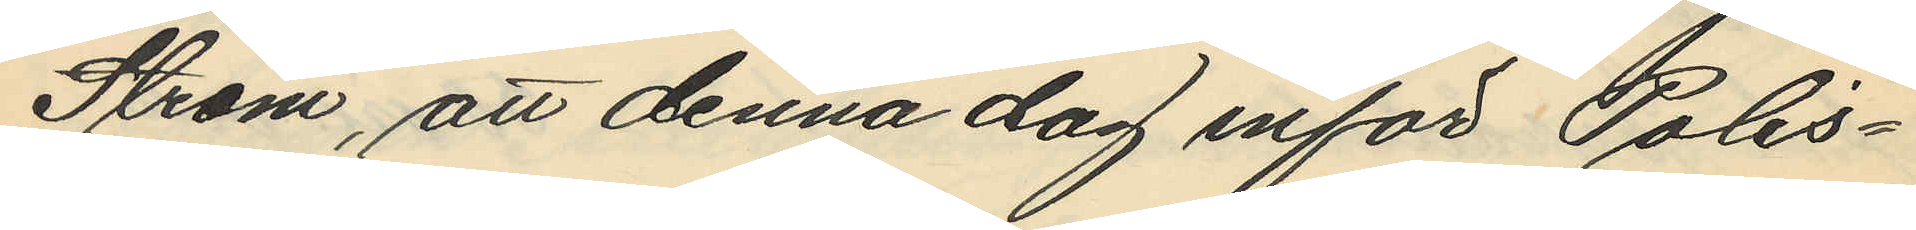Ström, att denna dag inför Polis¬
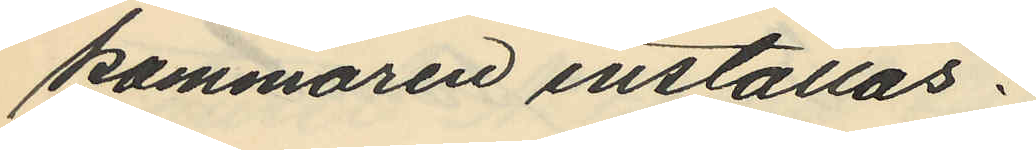kammaren inställas.
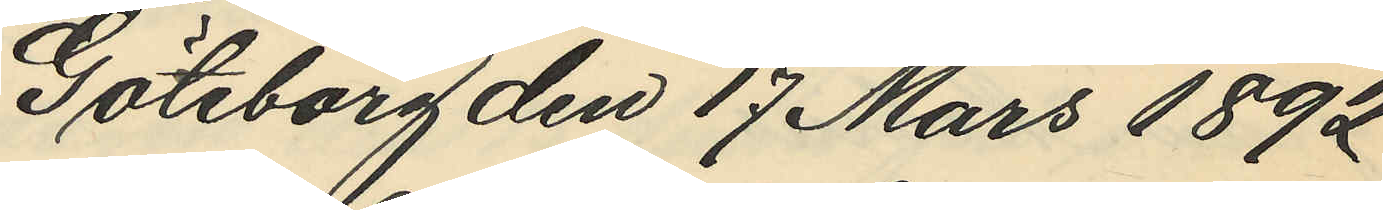Göteborg den 17 Mars 1892
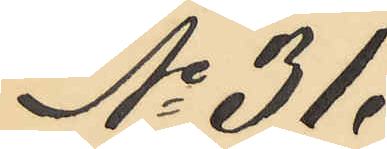No 31.
